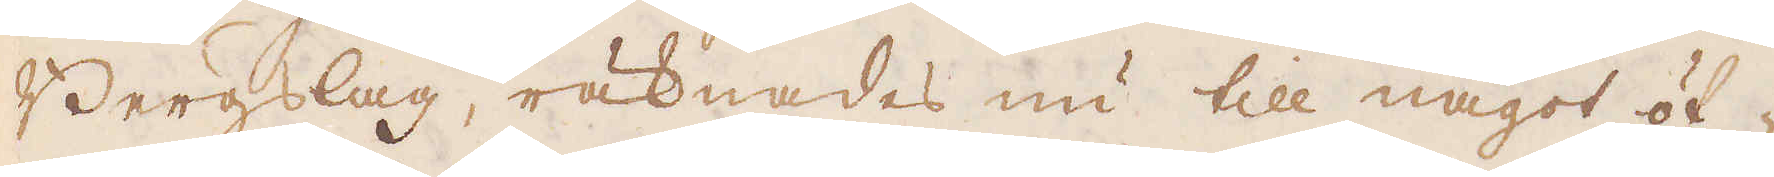Bergslag, räknades nu till något öf-
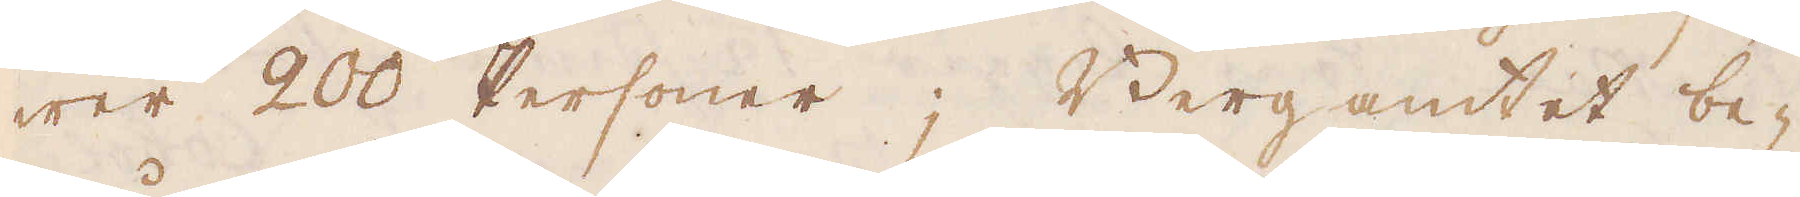wer 200 Personer; Bergamtet be-
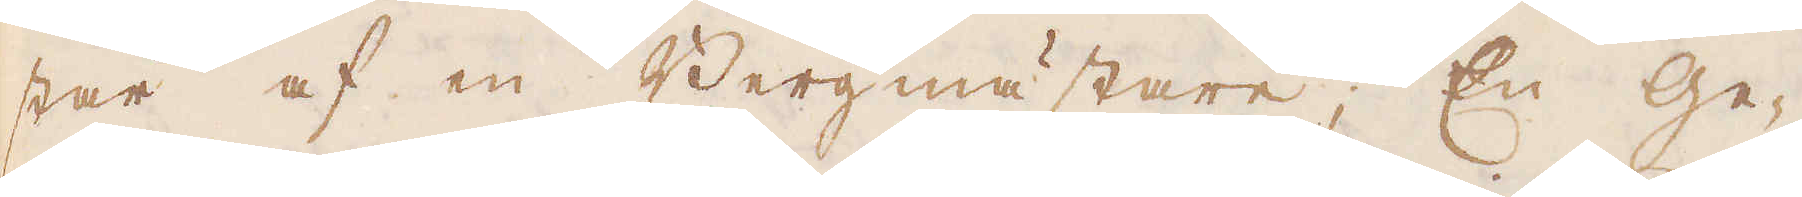står af en Bergmästare; En Ge-
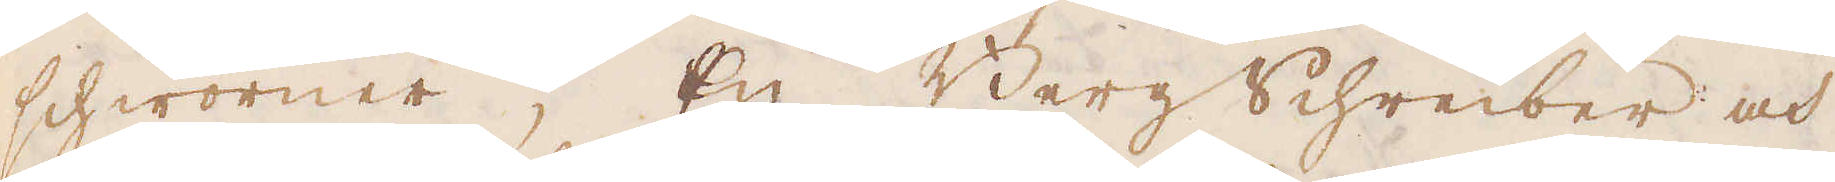shworner, En Bergschreiber och
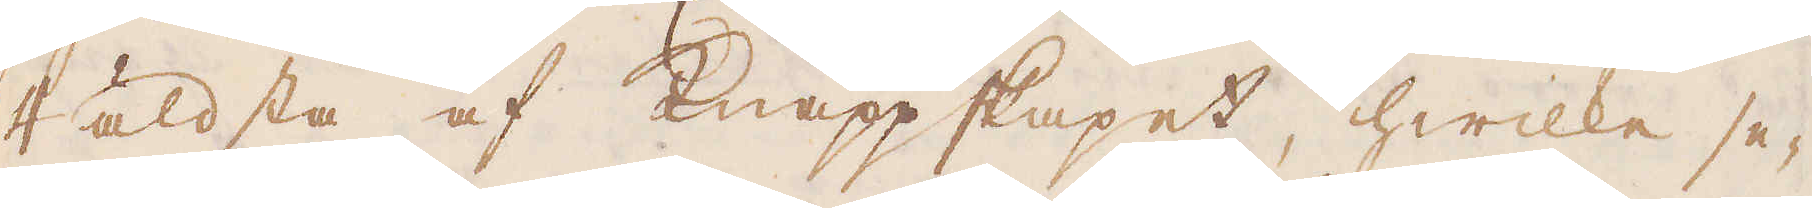4 äldsta af Knappskapet, hwilke se-
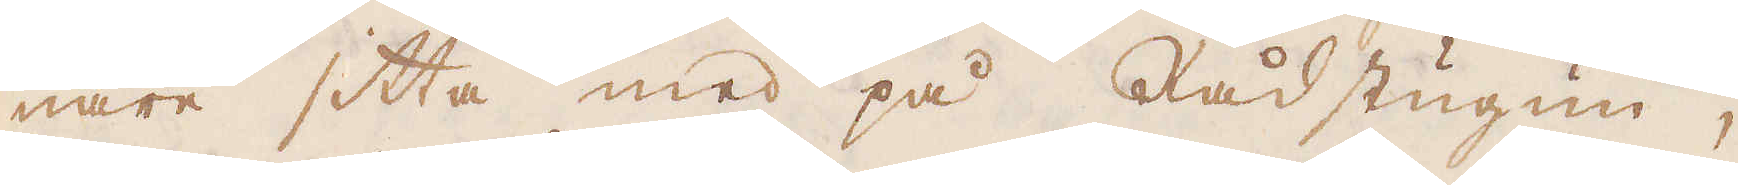nare sitta med på Rådstugun,
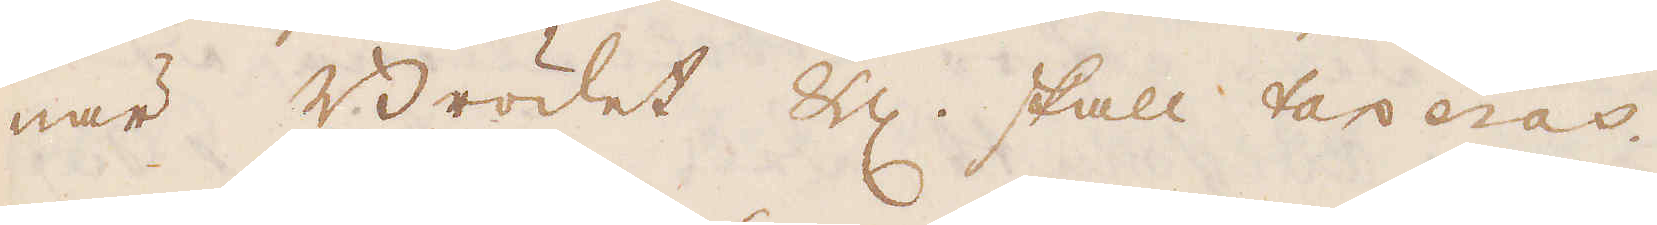när Brödet &c. skall taxeras.
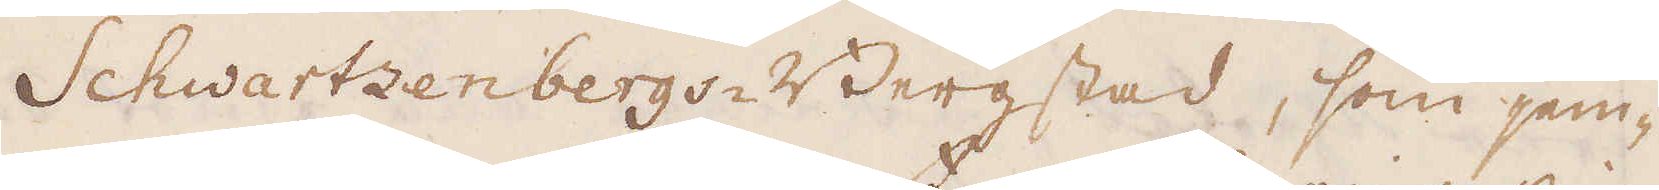Schwartzenbergs-Bergstad, som jem-
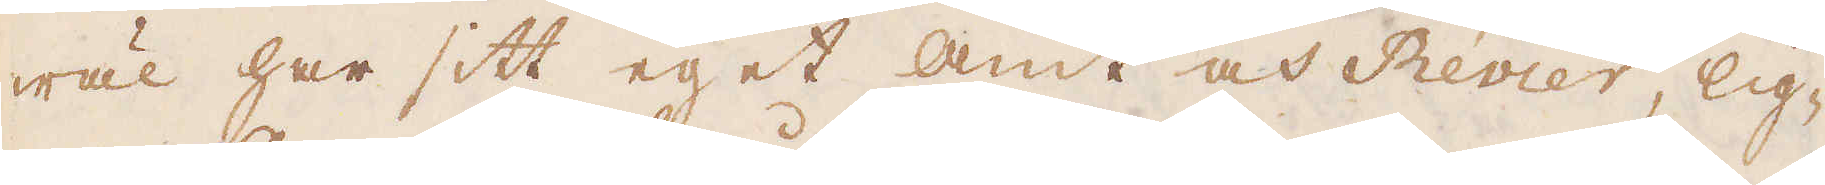wäl har sitt eget amt och Revier, lig-
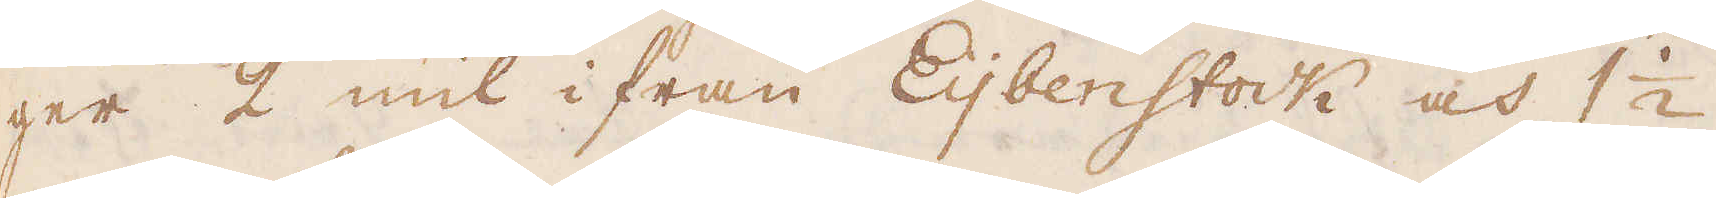ger 2 mil ifrån Eijbenstock och 1 1/2
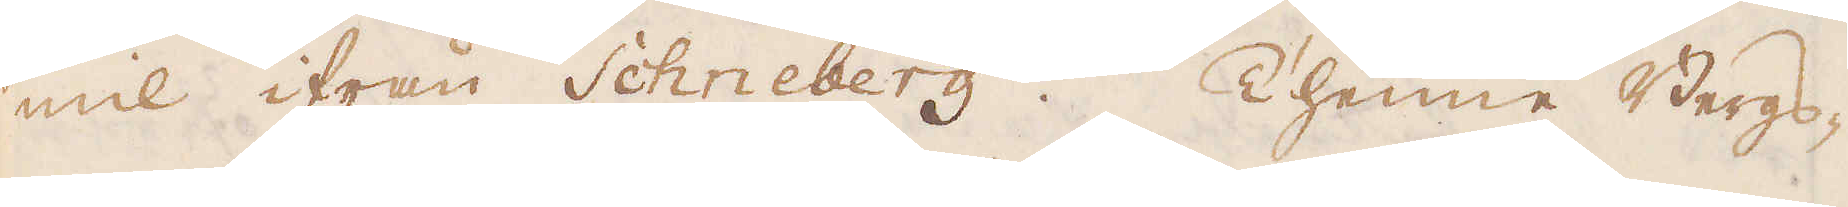mil ifrån Schneberg. Thenne Bergs-
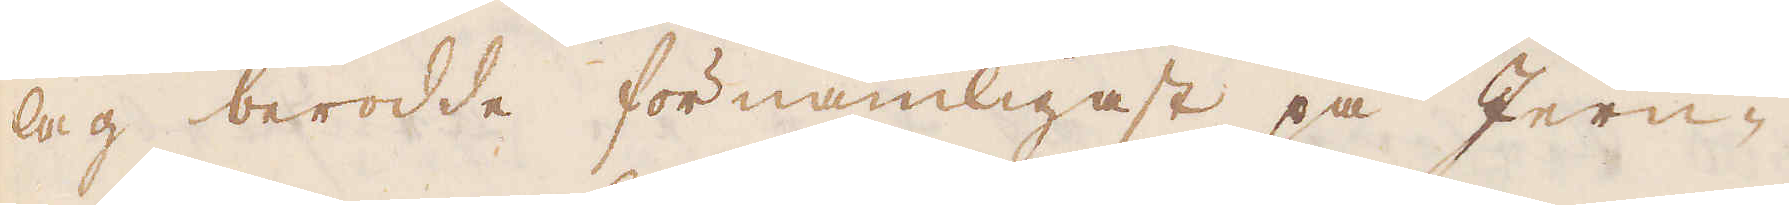lag berodde förnämligast på Jern-
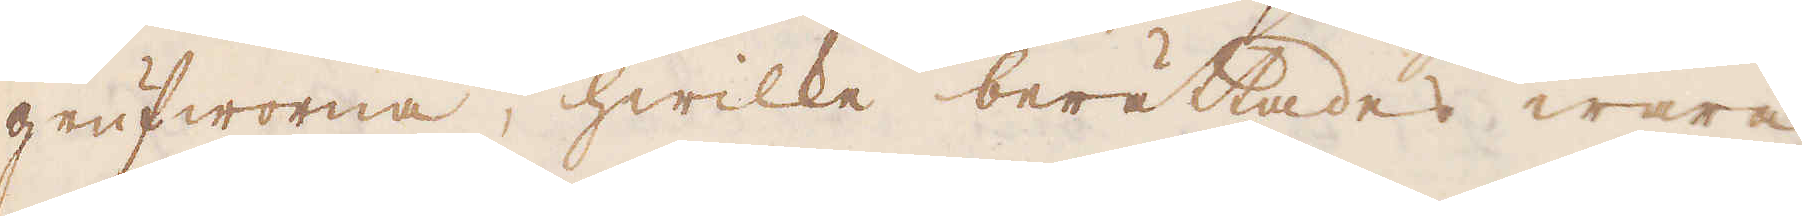grufworna, hwilke berättades wara
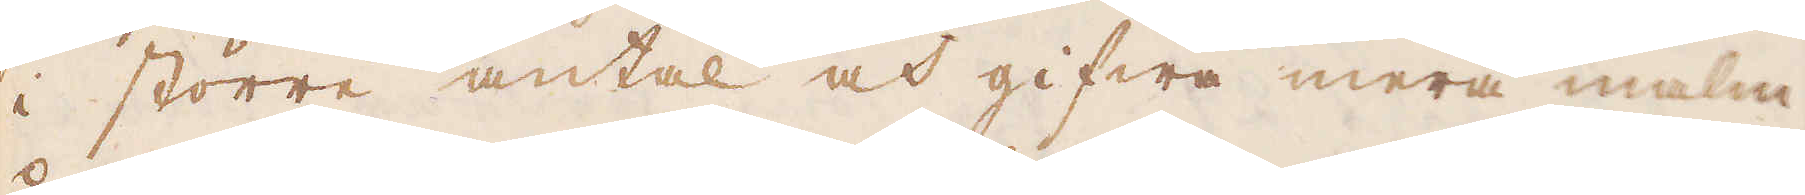i större antal och gifwa mera malm
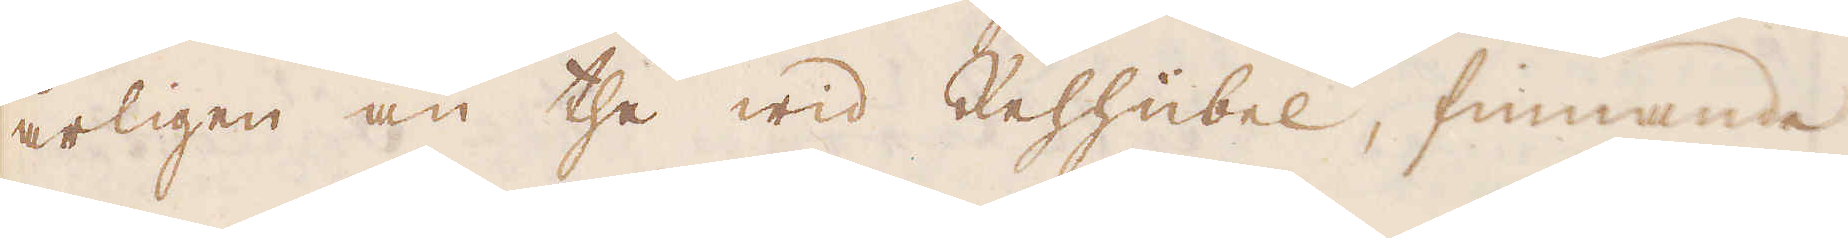årligen än the wid Rehhübel, finnande
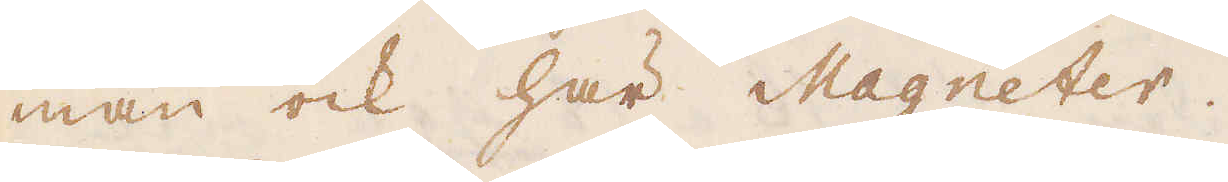man ock här Magneter.
